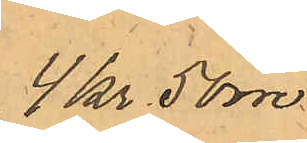4 kr 50 öre
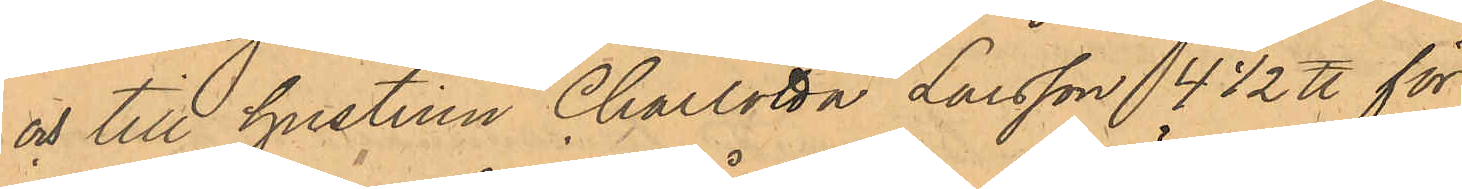och till hustrun Charlotta Larsson 4 1/2 ℔ för
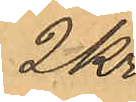2 kr.
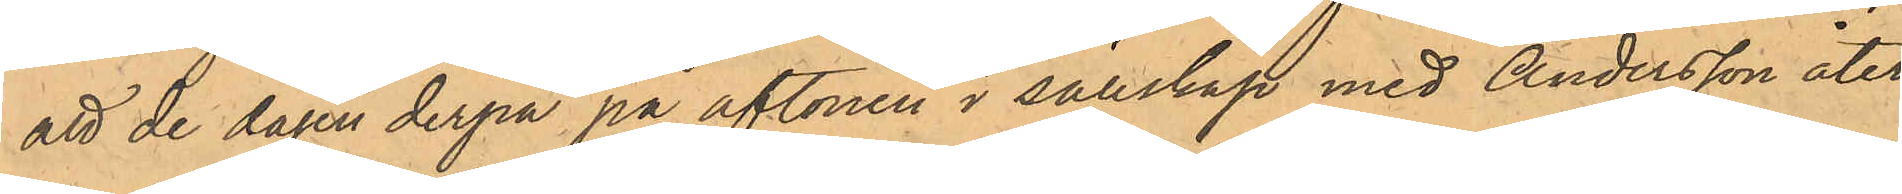att de dagen derpå på aftonen i sällskap med Andersson åter
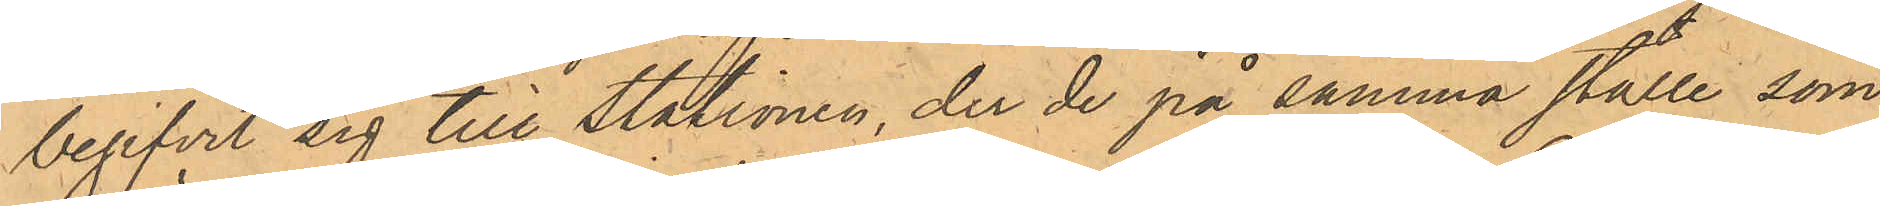begifvit sig till Stationen, der de på samma ställe som
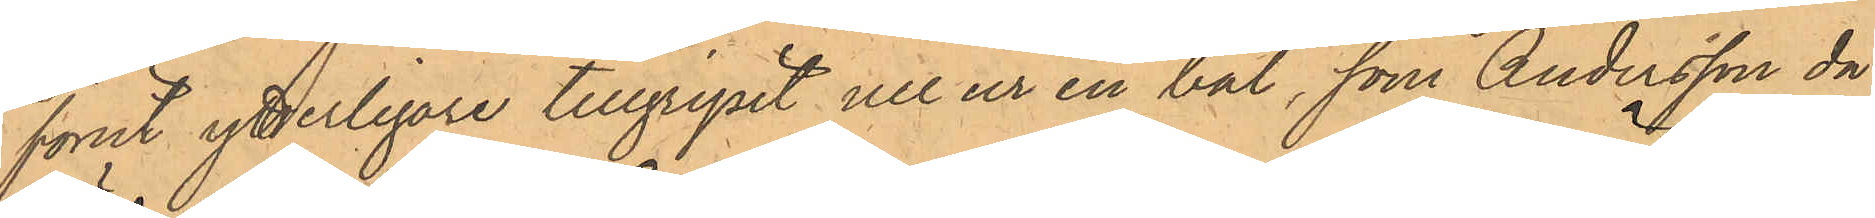förut ytterligare tillgripit ull ur en bal, som Andersson då
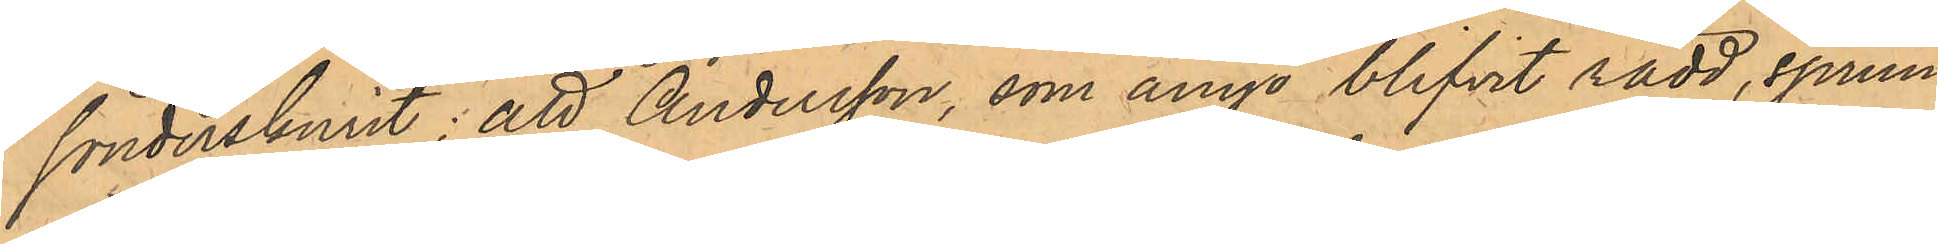sönderskurit; att Andersson, som ånyo blifvit rädd, sprun¬
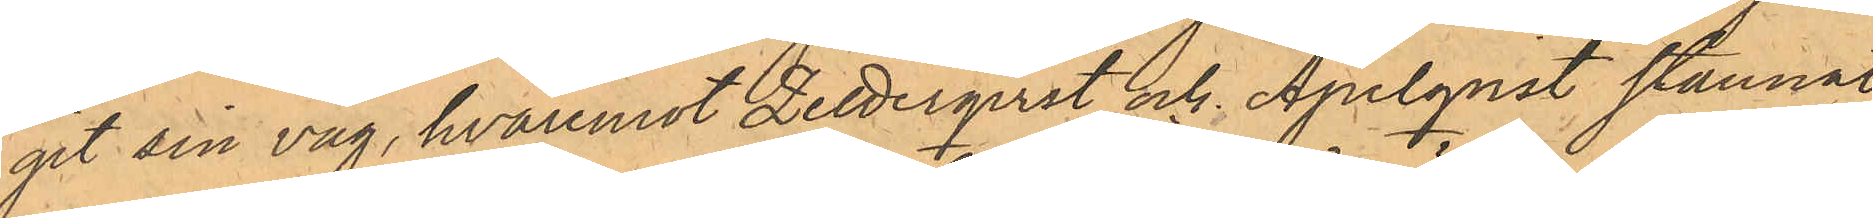git sin väg, hvaremot Zetterqvist och Apelqvist stannat
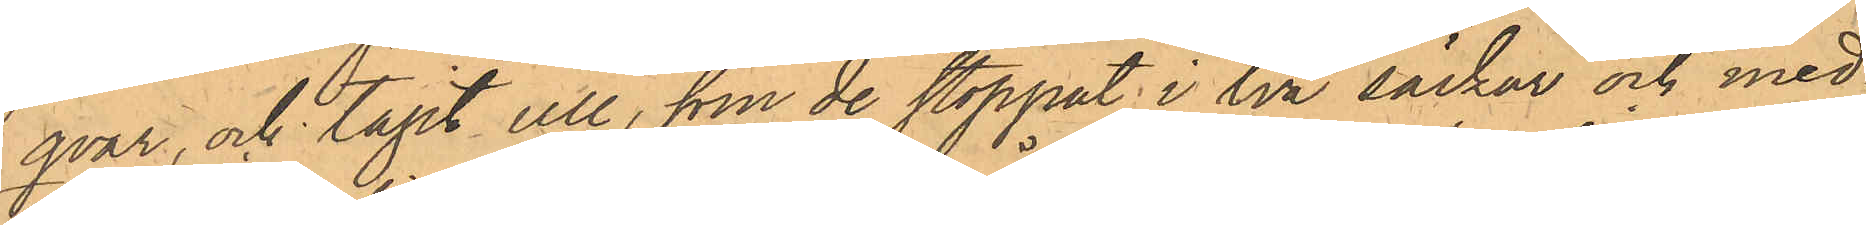qvar, och tagit ull, som de stoppat i två säckar och med¬
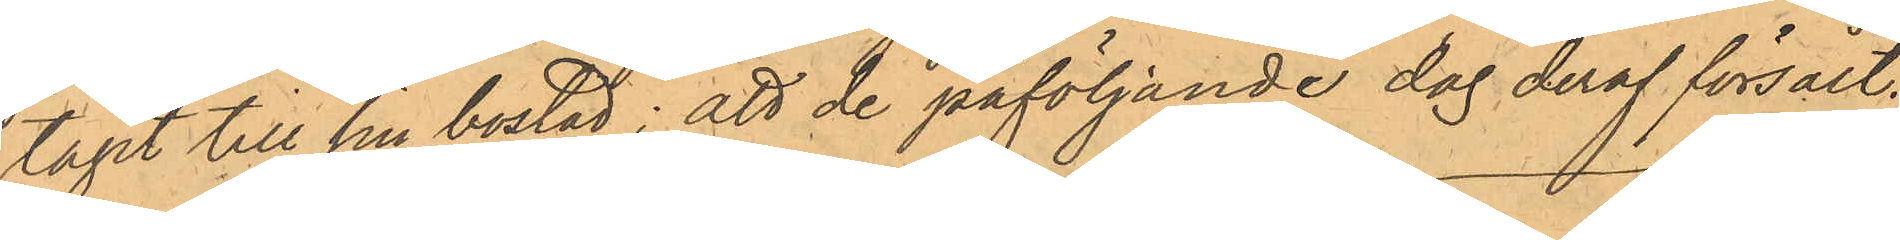tagit till sin bostad; att de påföljande dag deraf försålt:
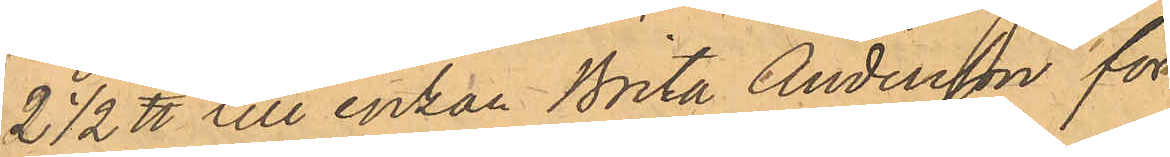2 1/2 ℔ till enkan Brita Andersson för
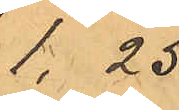1,25.
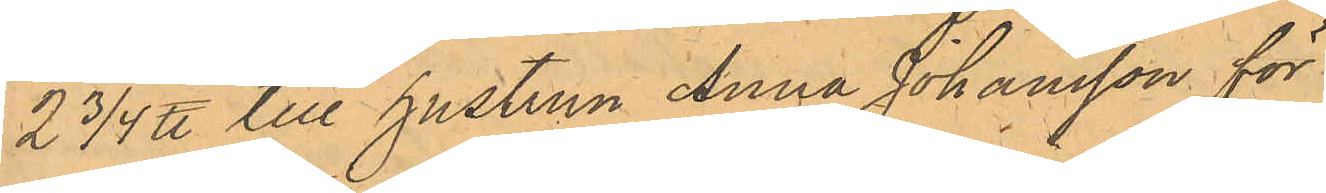2 3/4 ℔ till hustrun Anna Johansson för
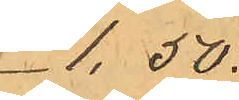1,50.
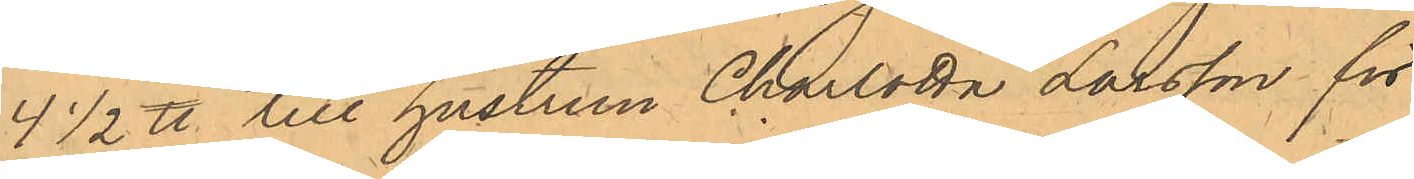4 1/2 ℔ till hustrun Charlotta Larsson för
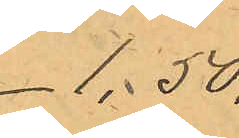1,50.
